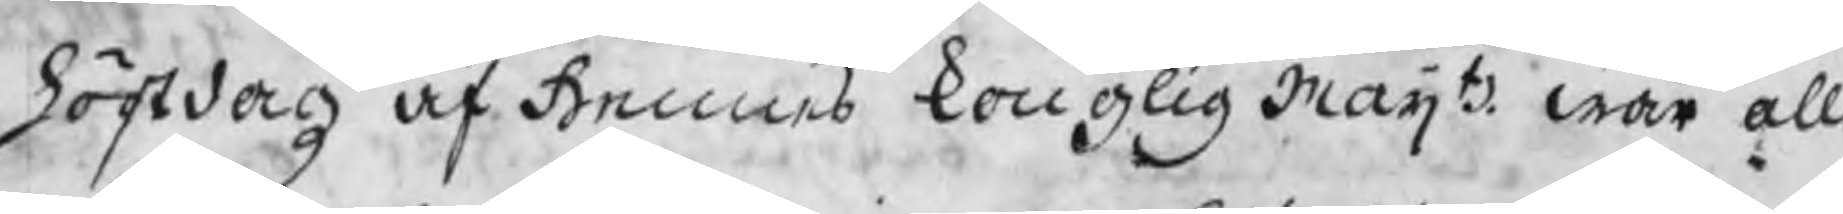höstdagz af Hennes konglig Maijtz wår all
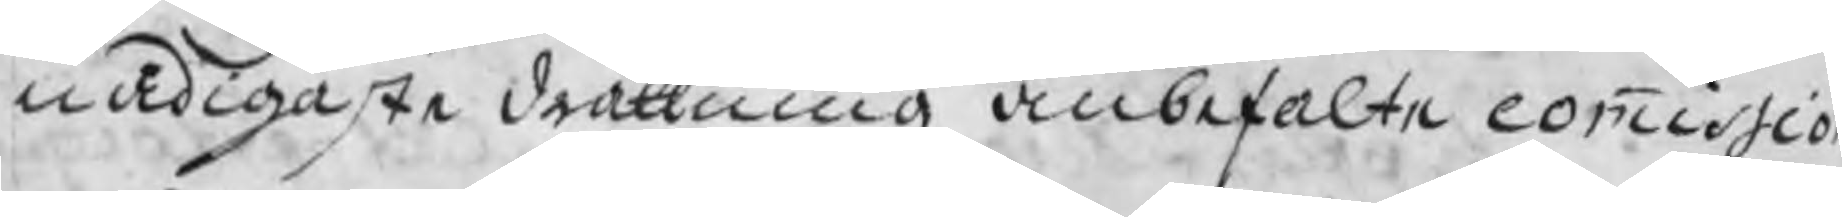nådigaste dråttning anbefalte commissio
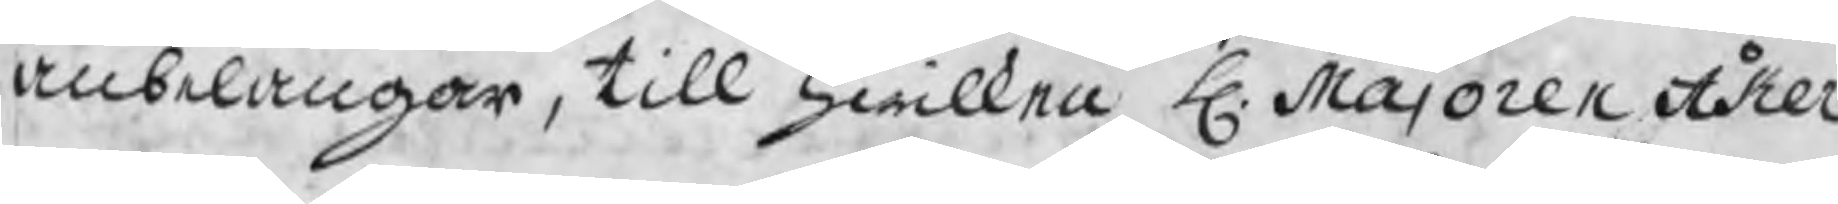anbelangar, till hwilken H. Majoren Åker
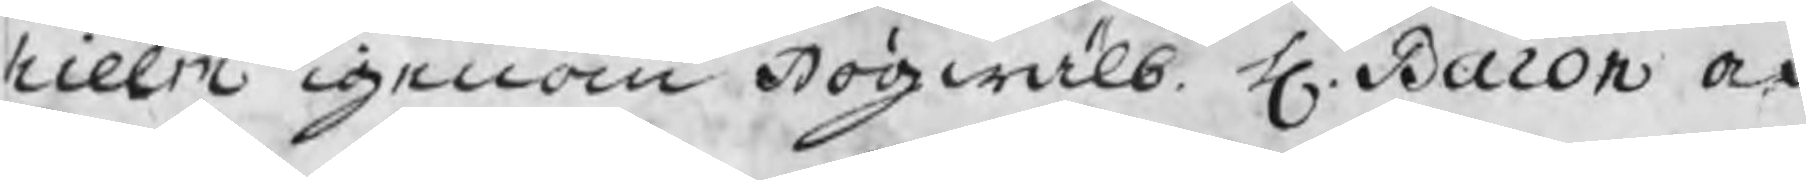hielm igenom Högwälb. H. Baron och
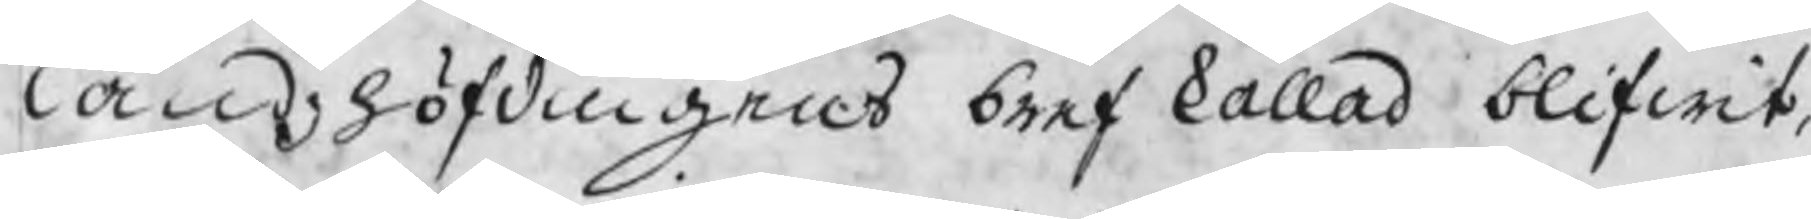landzhöfdingens bref kallad blifwit,
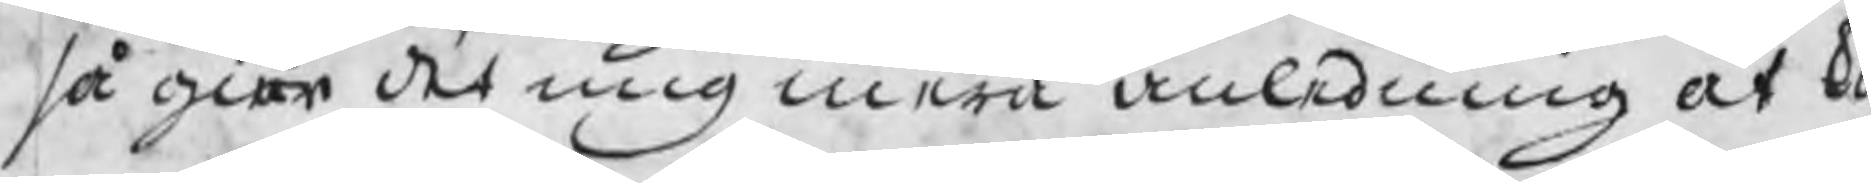så giör det mig mera anledning at k
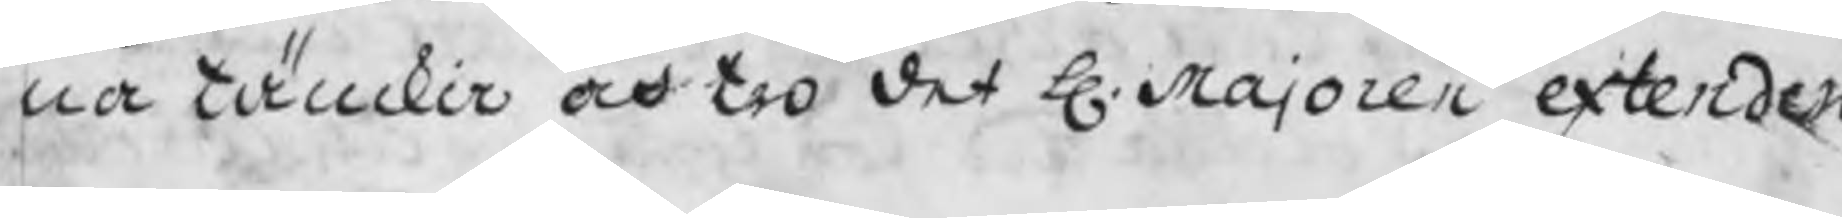na tänckia och tro det H. Majoren extendera
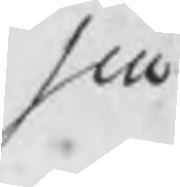sin
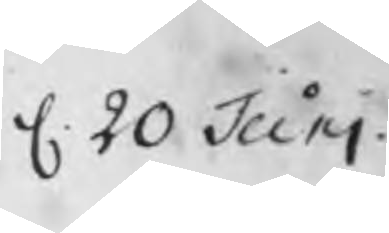d. 20 Juni
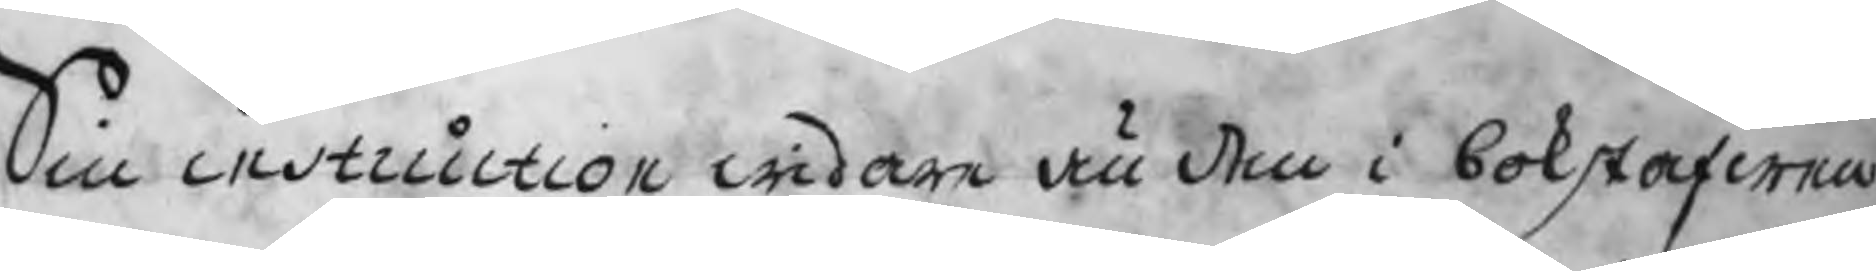Sin instruction widare än den i bokstafwen
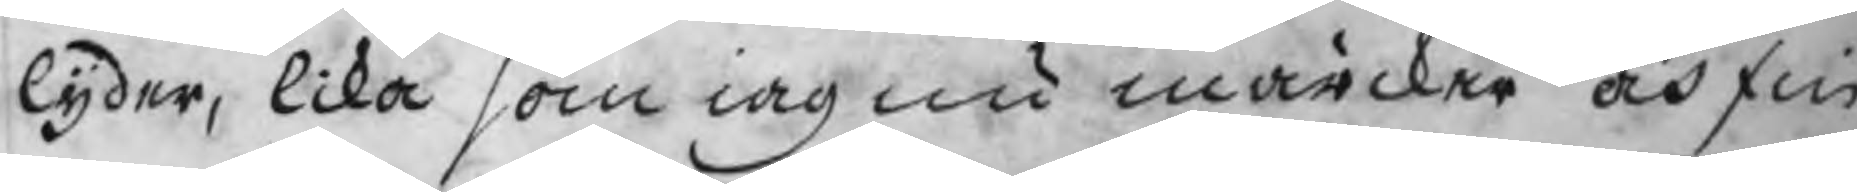lyder, lika som iag nu märcker och fin
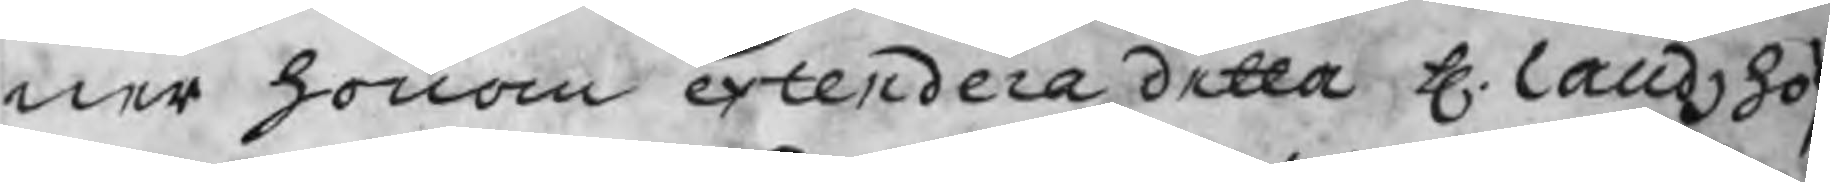ner honom extendera detta H. landzhöf
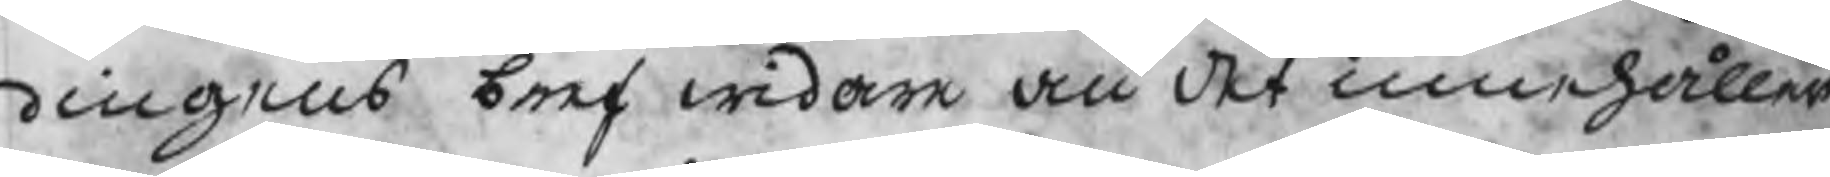dingens bref widare än det innehåller
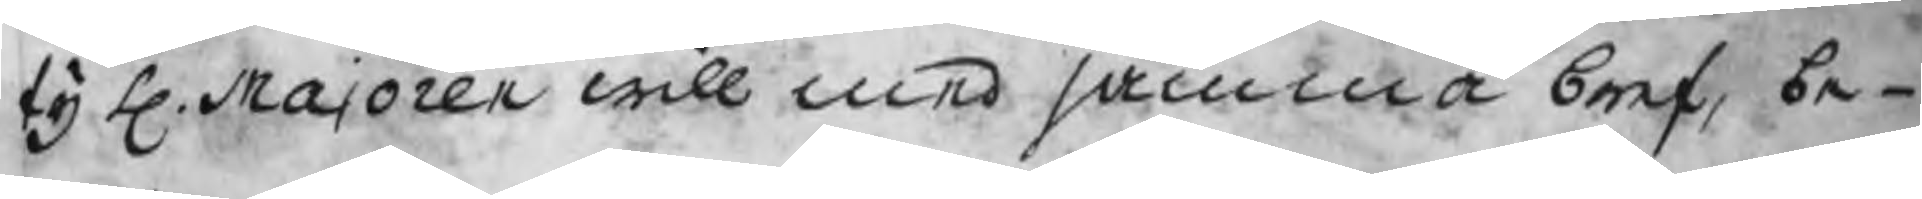ty H. Majoren will med samma bref be¬
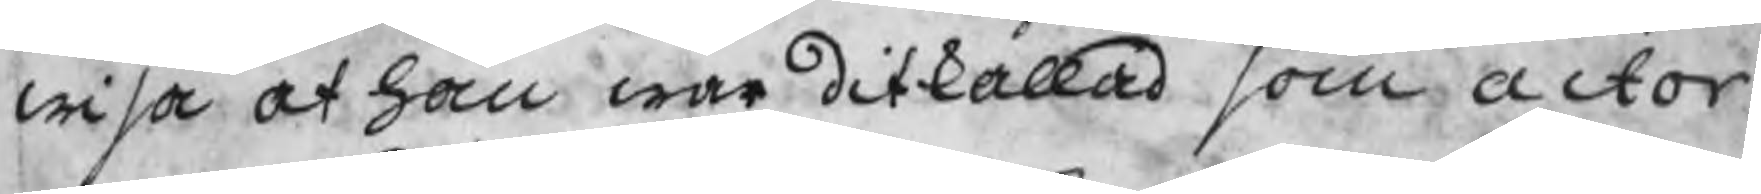wisa at han war ditkallad som actor
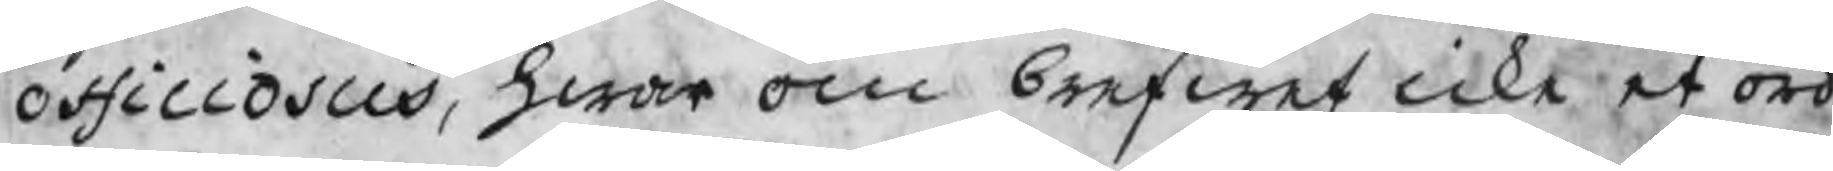officiosus, hwar om brefwet icke et ord
